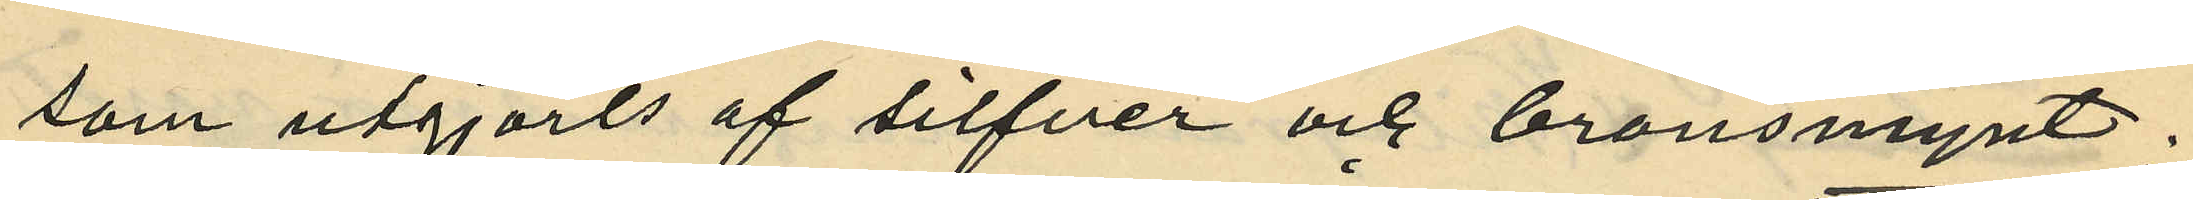som utgjorts af silfver och bronsmynt.
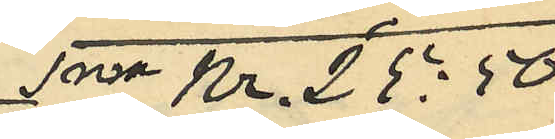Sma Kr. 25:50
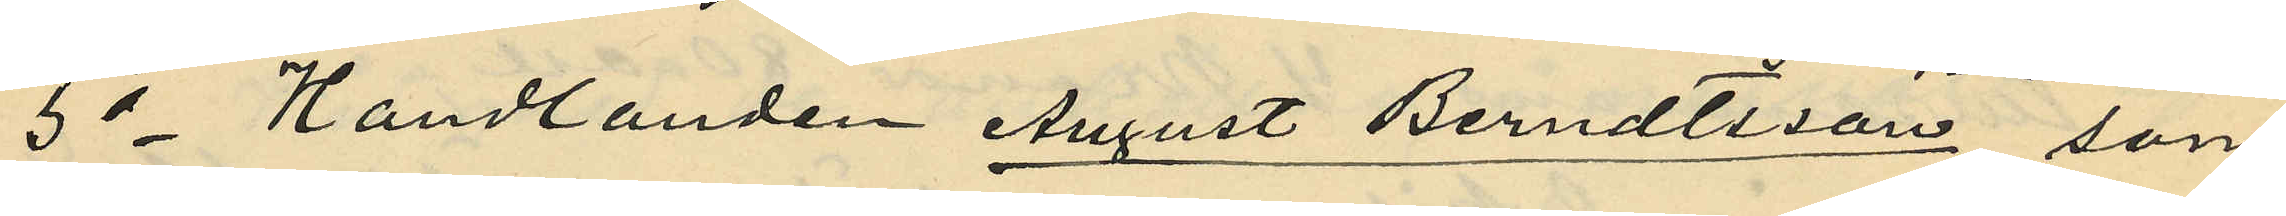5o Handlanden August Berndtsson, som
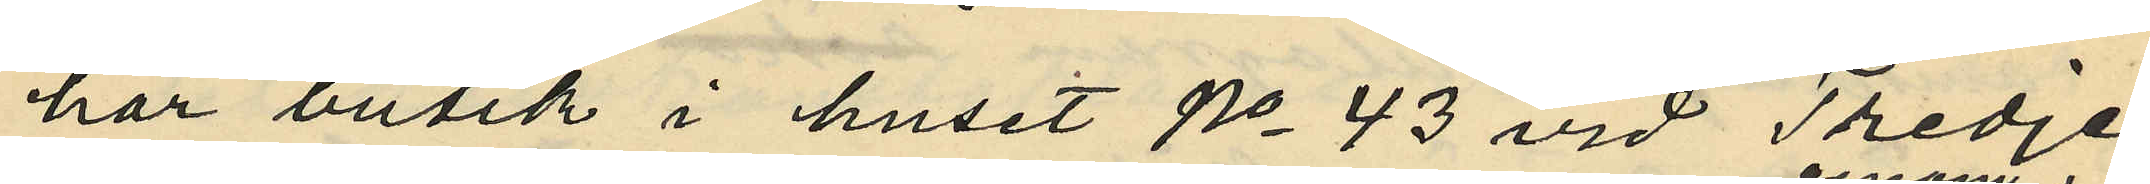har butik i huset No 43 vid Tredje
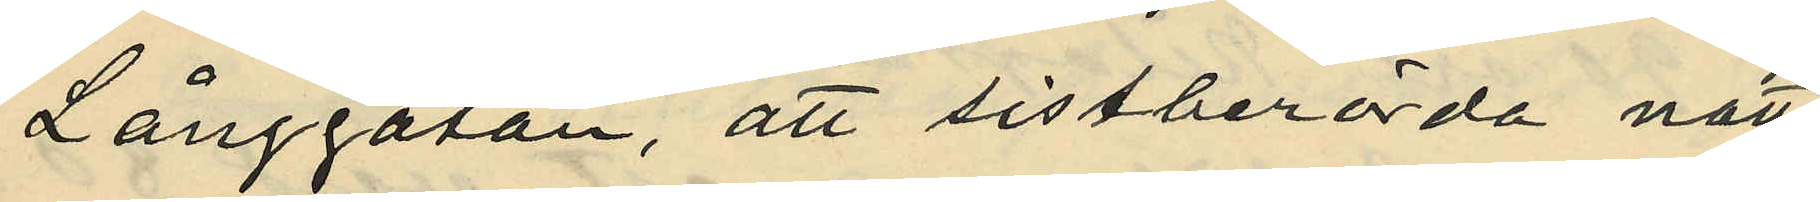Långgatan, att sistberörda natt
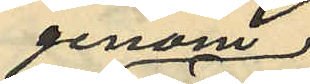genom
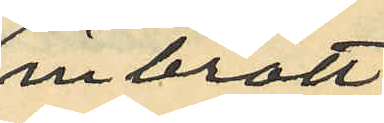inbrott
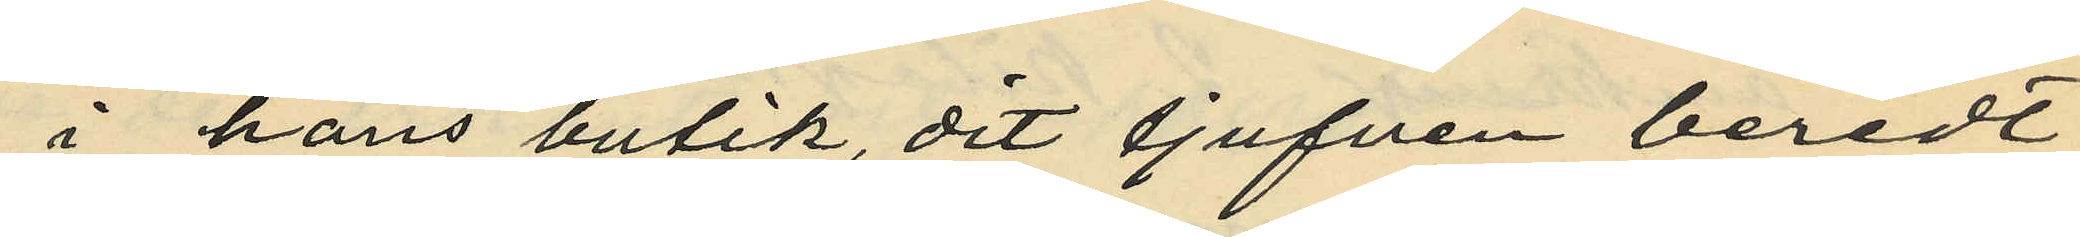i hans butik, dit tjufven beredt
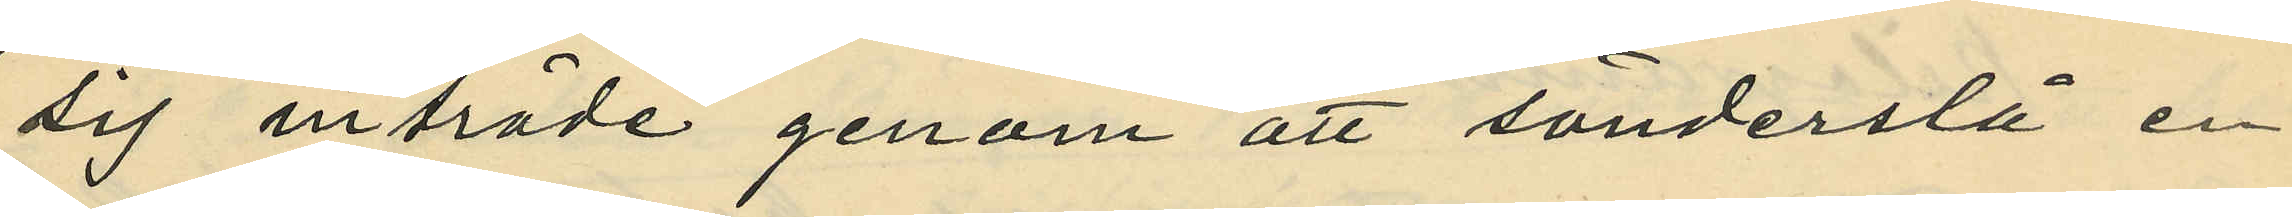sig inträde genom att sönderslå en
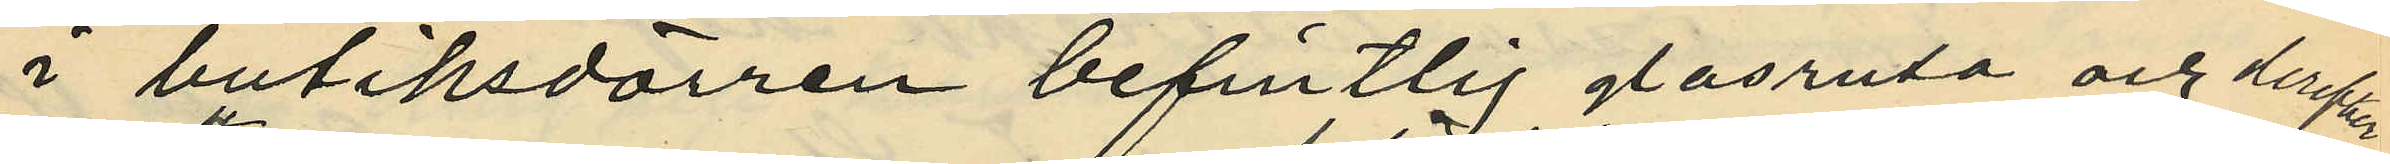i butiksdörren befintlig glasruta och derefter
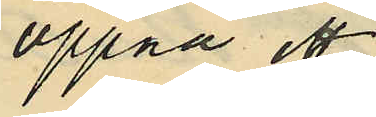öppna ett
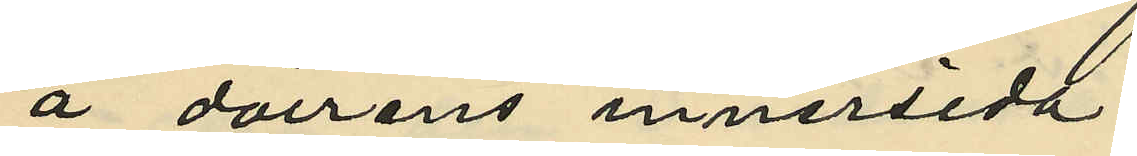å dörrens innersida
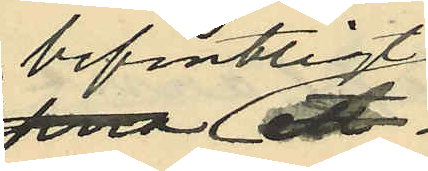befintligt
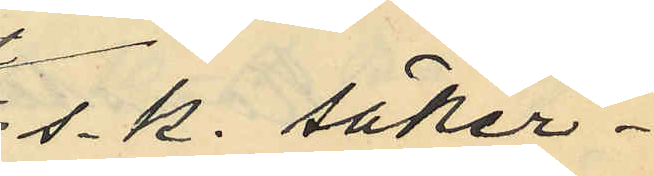s.k. säker¬
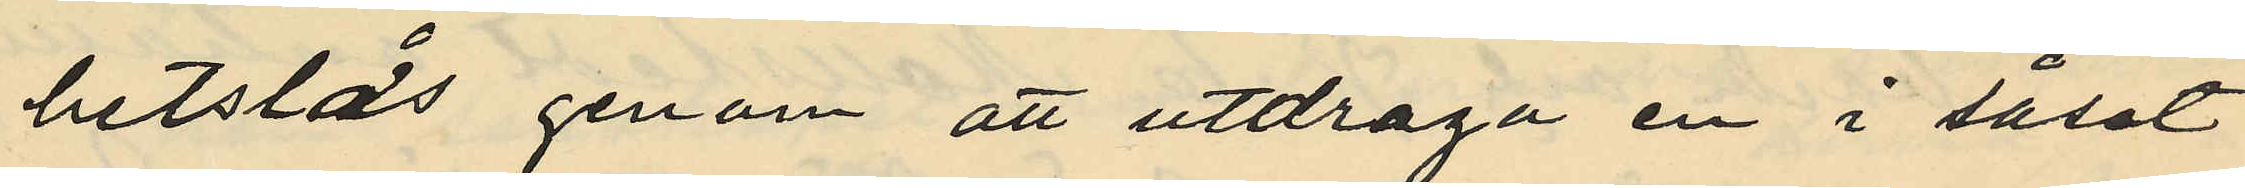hetslås genom att utdraga en i låset
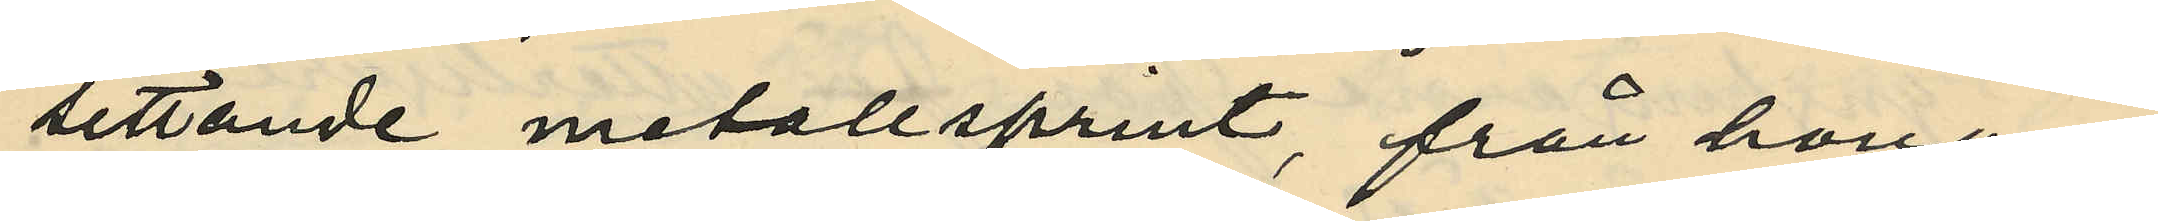sittande metallsprint, från honom
